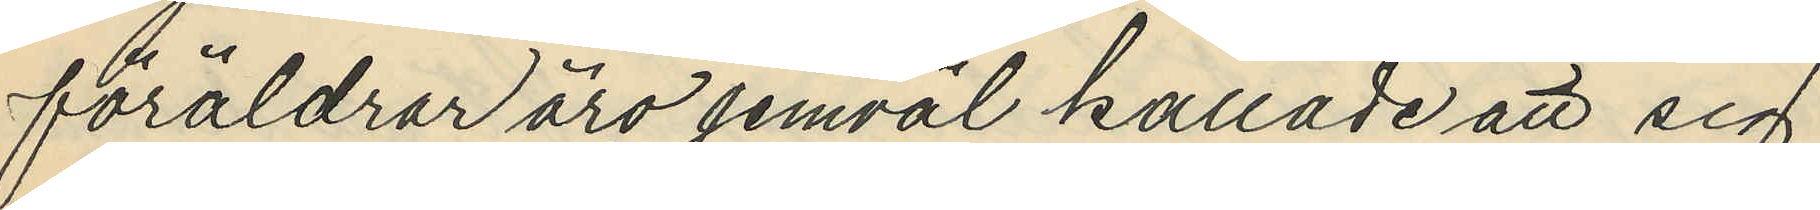föräldrar äro jemväl kallade att sig
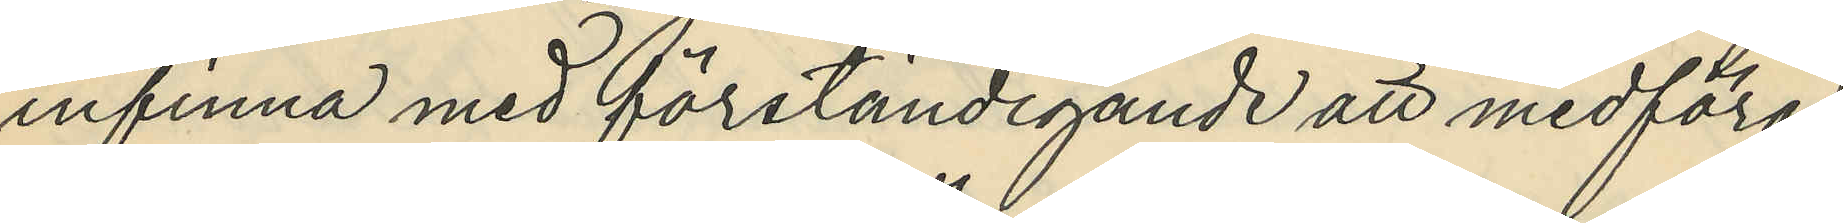infinna med förständigande att medföra
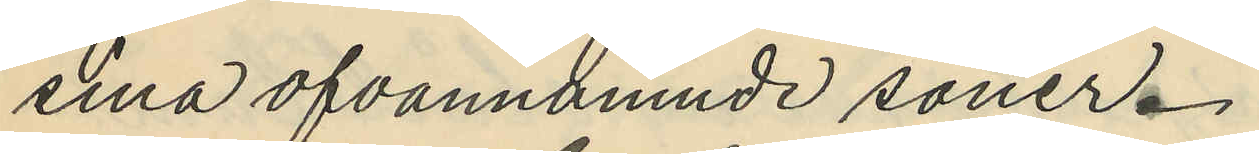sina ofvannämnde söner.
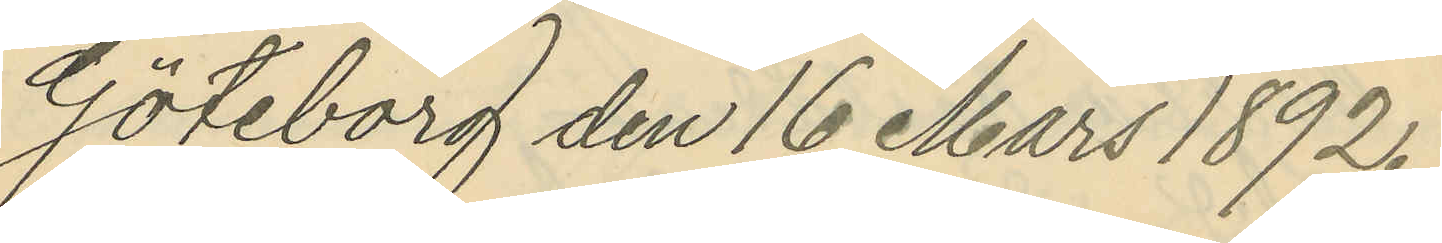Göteborg den 16 Mars 1892.
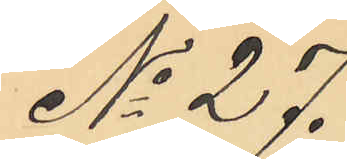No 27.
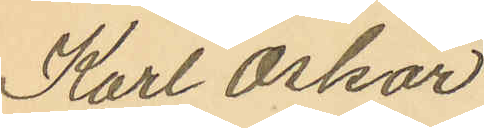Karl Oskar
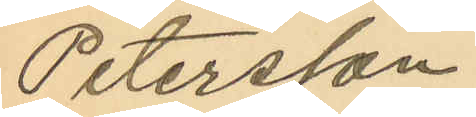Petersson
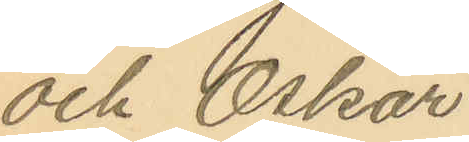och Oskar
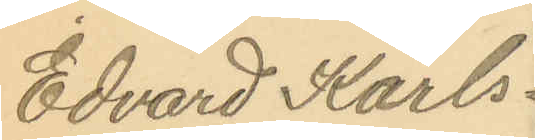Edvard Karls¬
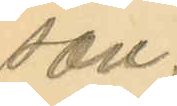son.
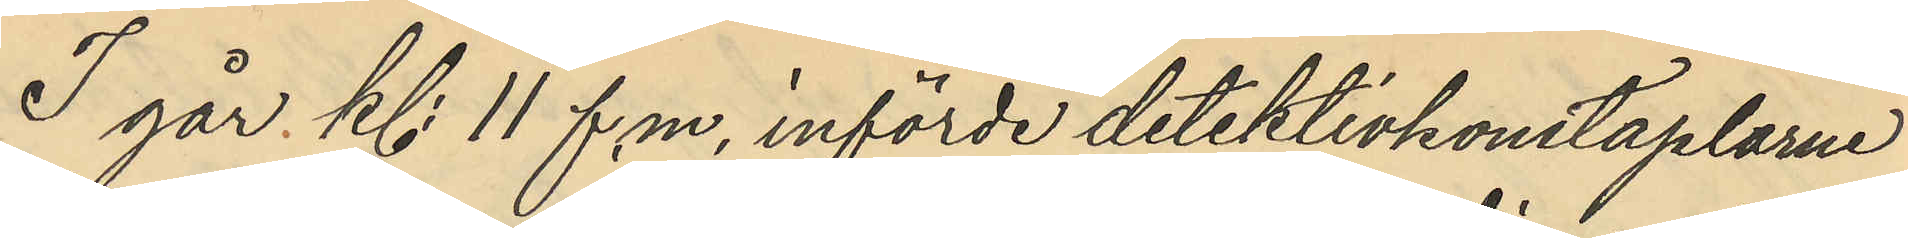I går kl. 11 f. m. införde detektivkonstaplarne
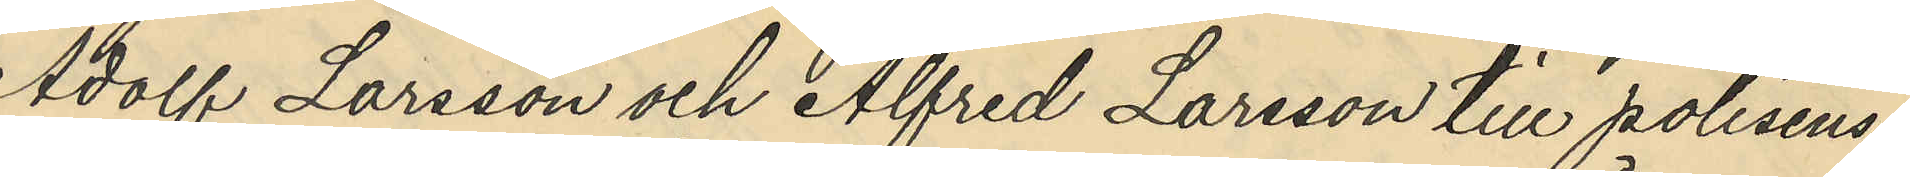Adolf Larsson och Alfred Larsson till polisens
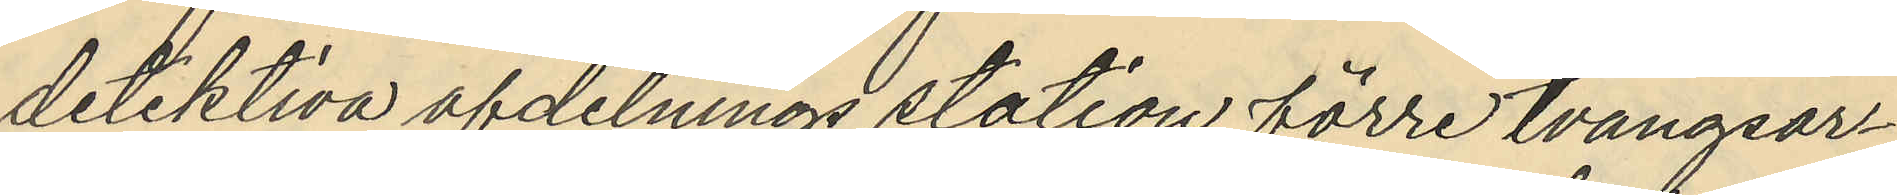detektiva afdelnings station förre tvångsar¬
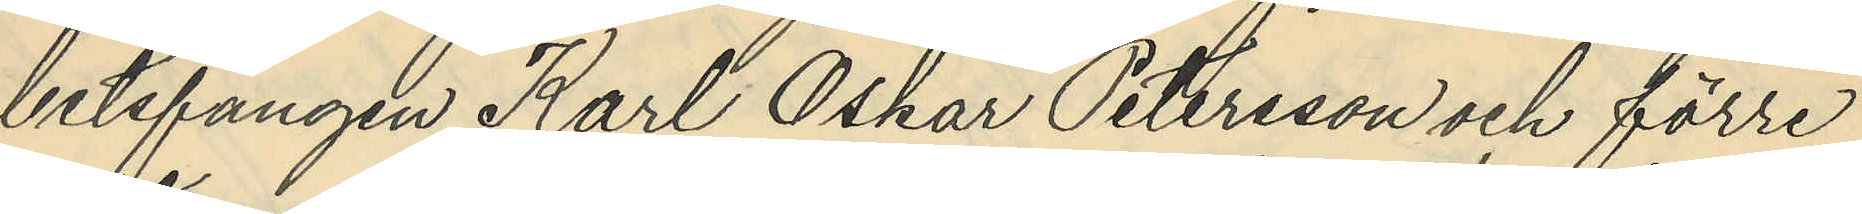betsfången Karl Oskar Petersson och förre
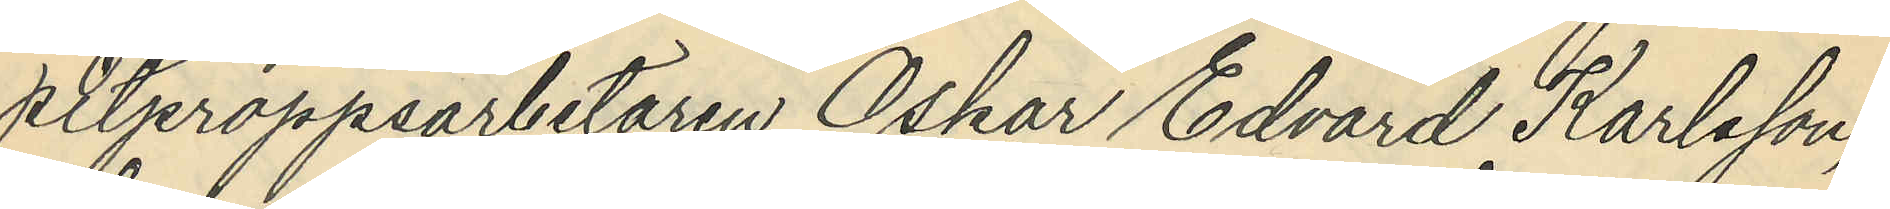pitjeroppsarbetaren Oskar Edvard Karlsson,
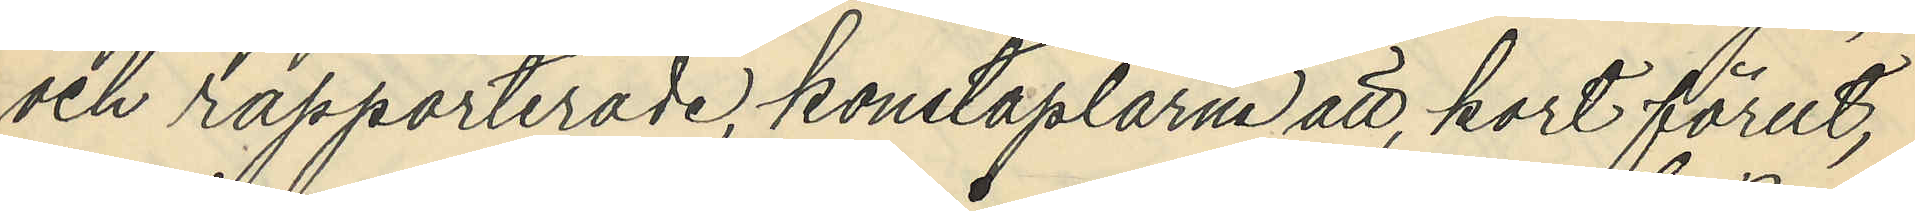och rapporterade, konstaplarne att, kort förut,
